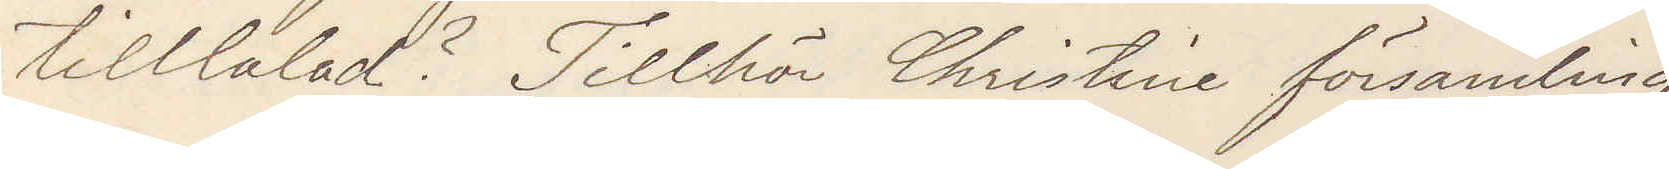talad? Tillhör Christine församling
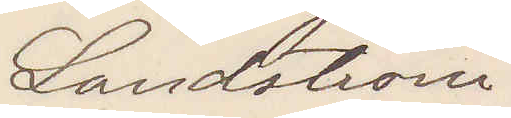Landström
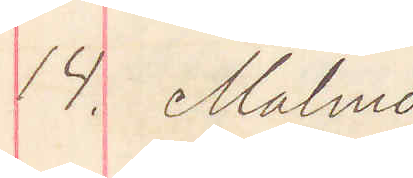14. Malmö
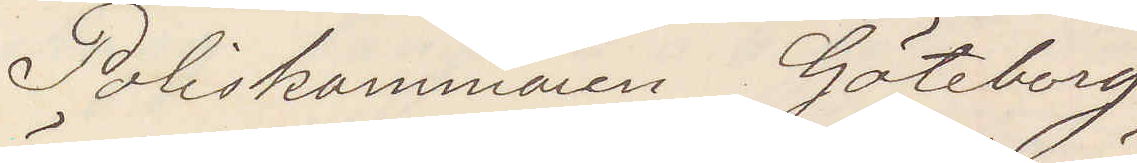Poliskammaren Göteborg
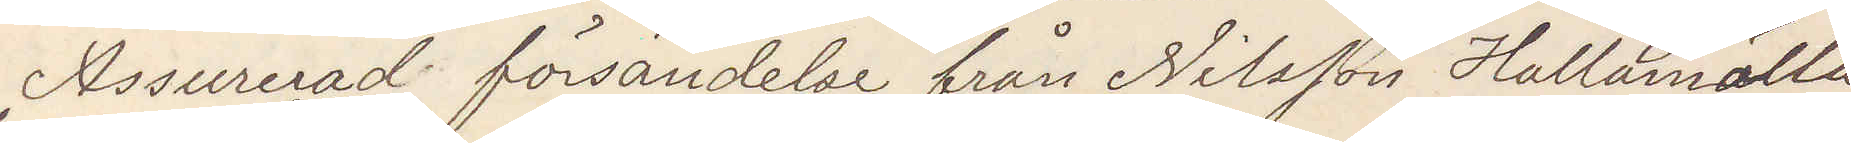Assurerad försändelse från Nilsson Hallamölla
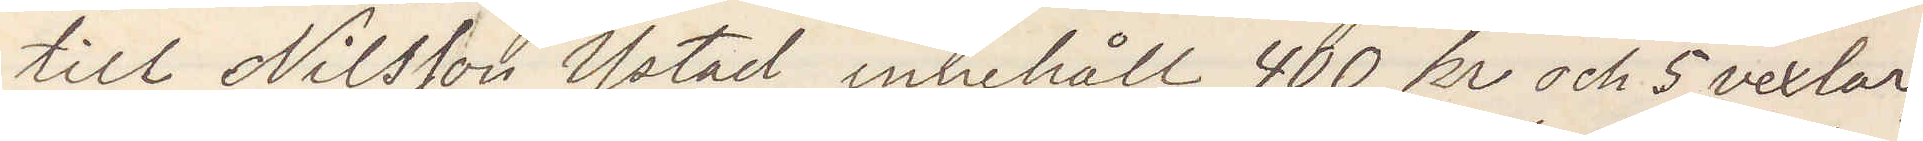till Nilsson Ystad innehåll 400 kr och 5 vexlar,
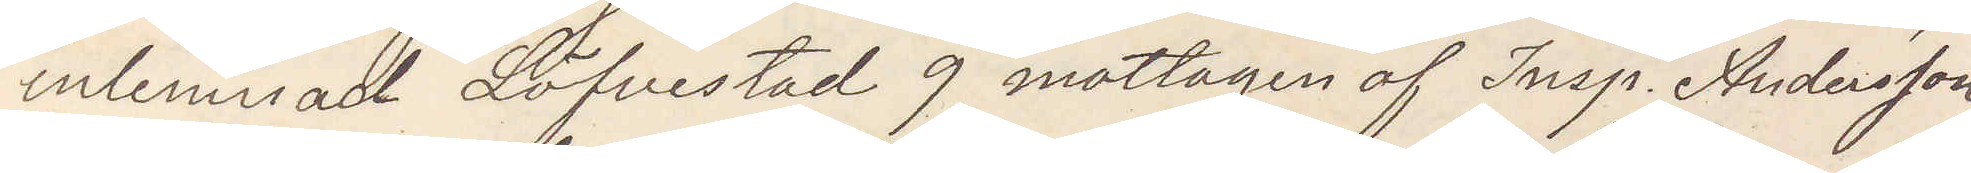inlemnad Löfvestad 9 mottagen af Insp Andersson
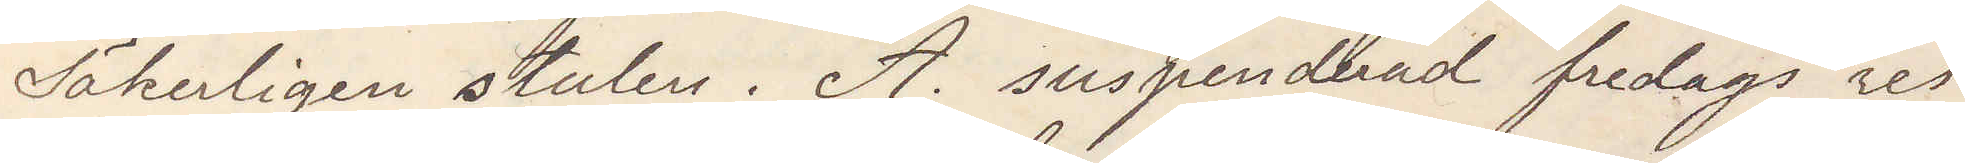Säkerligen stulen. A. suspenderad fredags reste
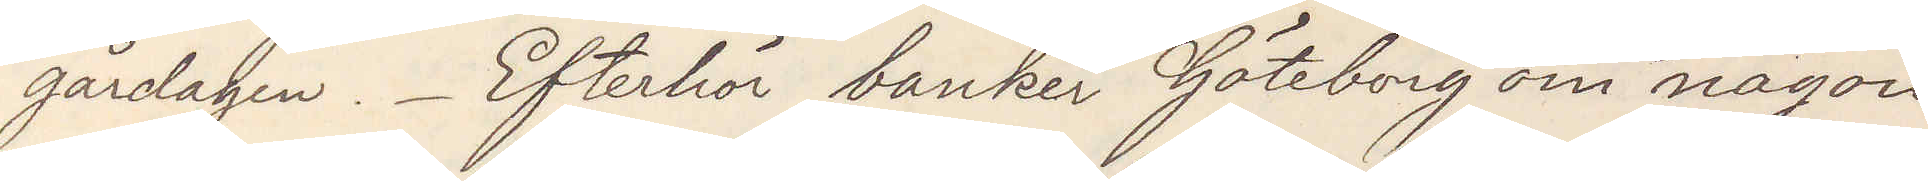gårdagen. Efterhör banker Göteborg om någon
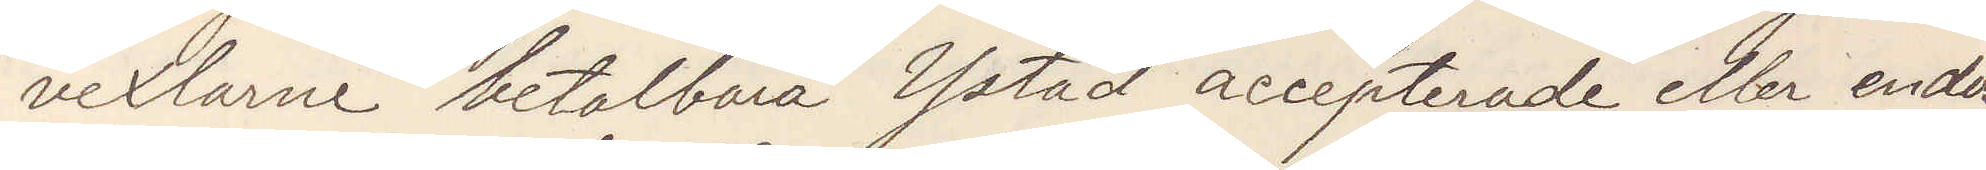vexlarne betalbara Ystad accepterade eller endos¬
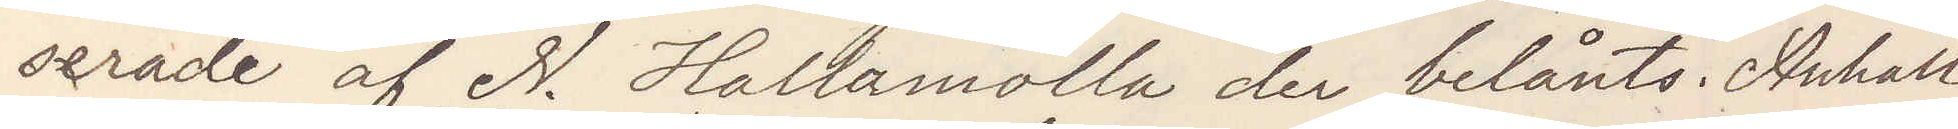serade af N. Hallamölla der belånts. Anhåll
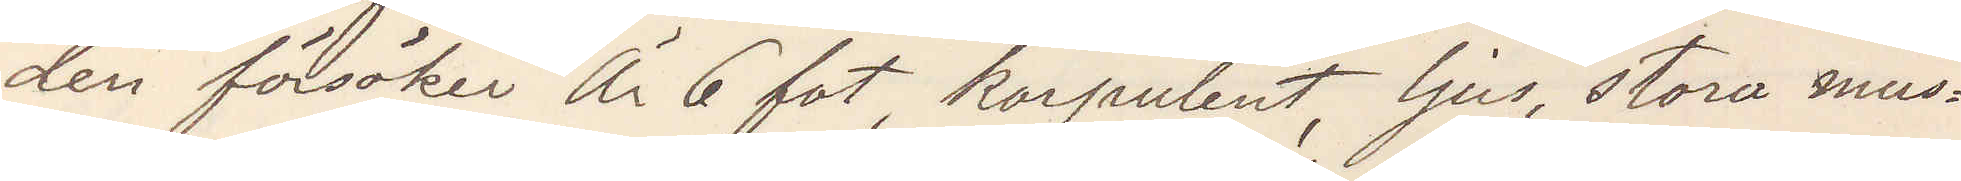den försöker Är 6 fot, korpulent, ljus, stora mus¬
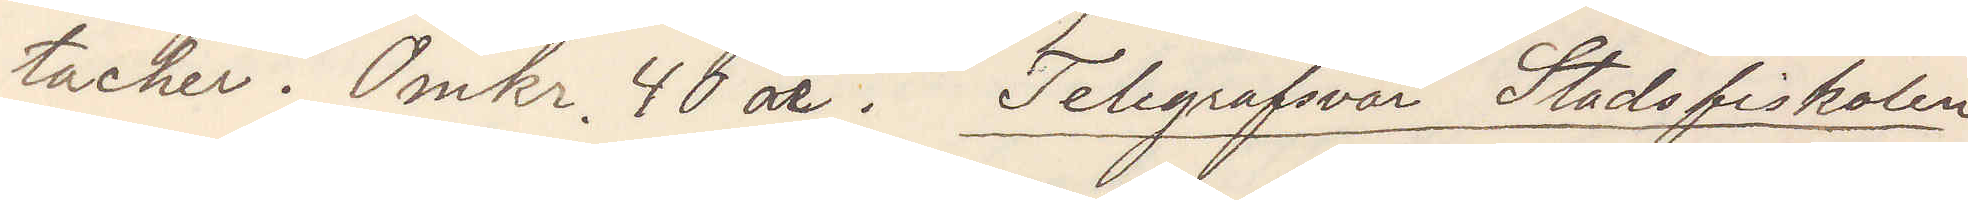tacher. Omkr. 40 år. Telegrafsvar Stadsfiskalen
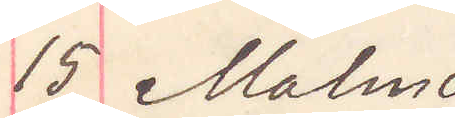15 Malmö
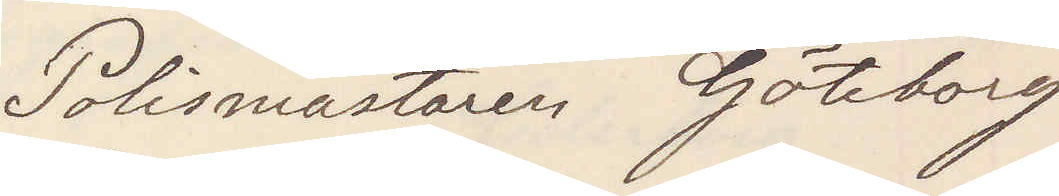Polismästaren Göteborg
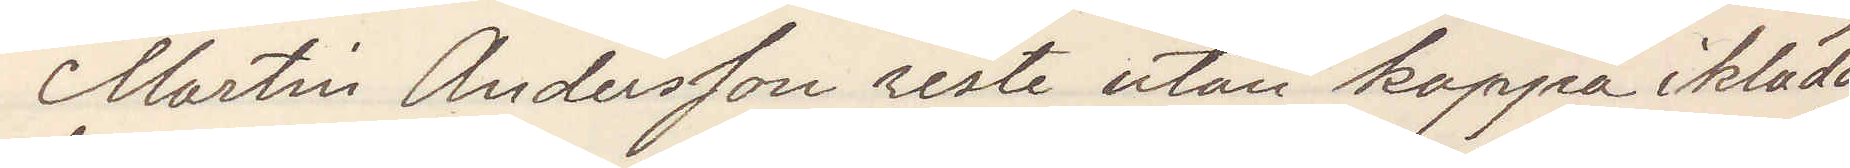Martin Andersson reste utan kappa iklädd
